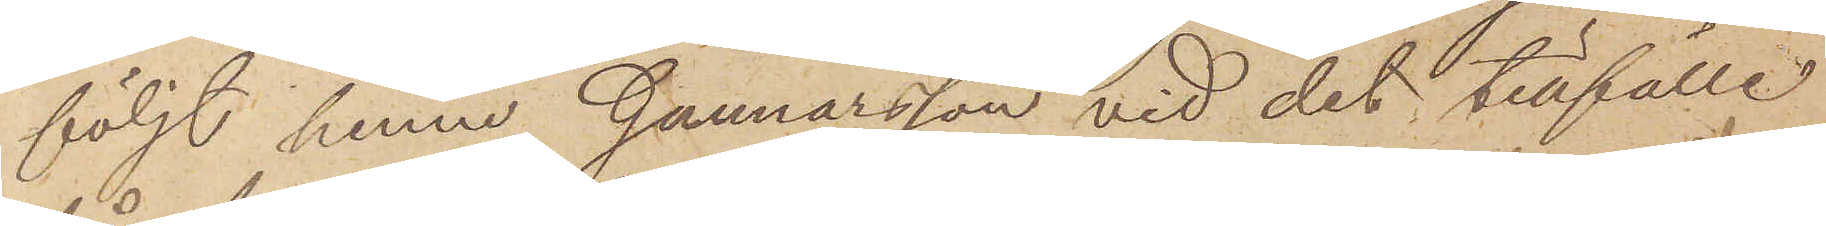följt henne, Gunnarsson vid det tillfälle
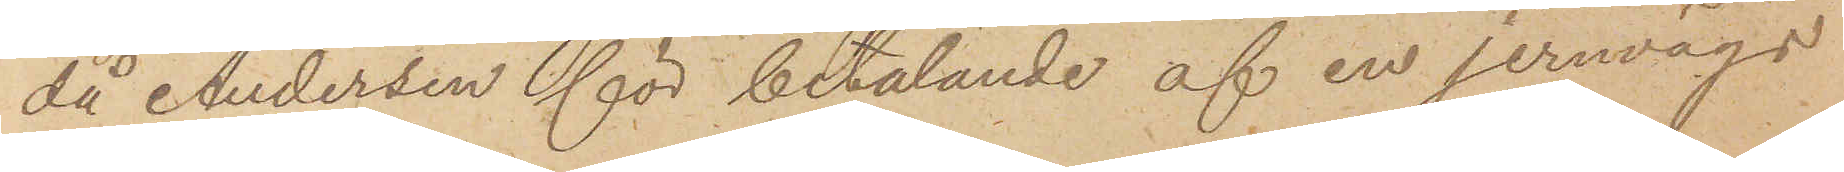då Andersen för betalande af en jernvägs¬
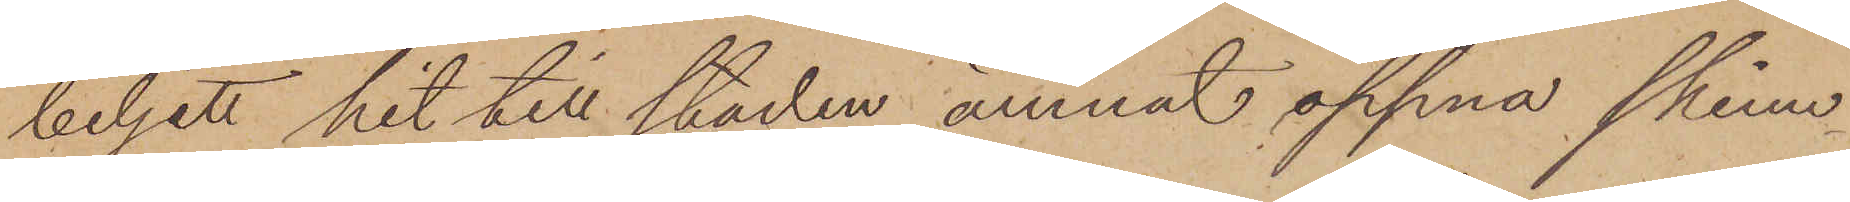biljett hit till staden ämnat öppna skinn¬
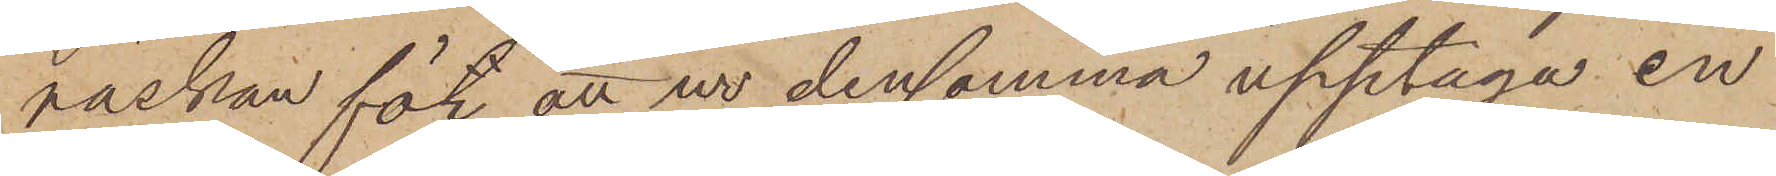väskan för att ur densamma upptaga en
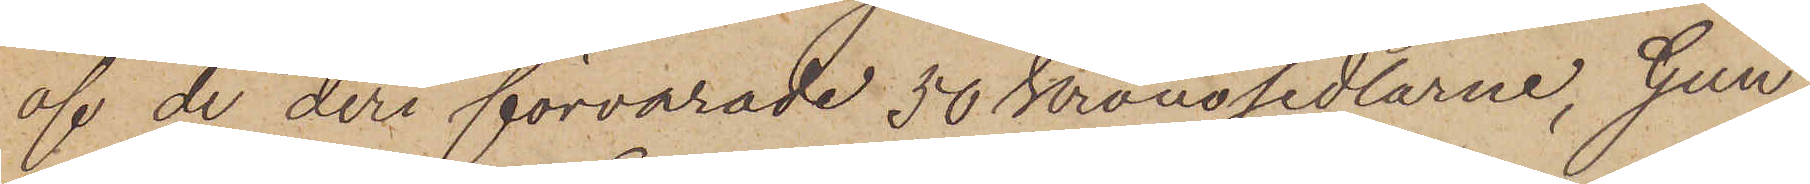af de deri förvarade 50 Kronosedlarne, Gun¬
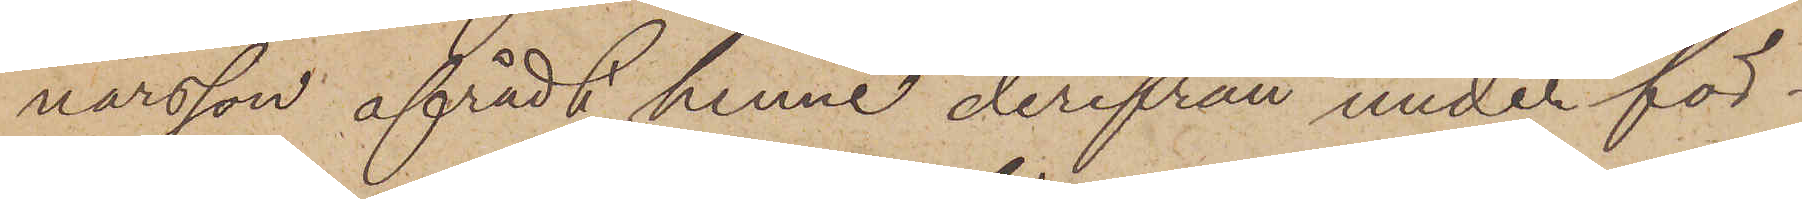narsson afrådt henne derifrån under för¬
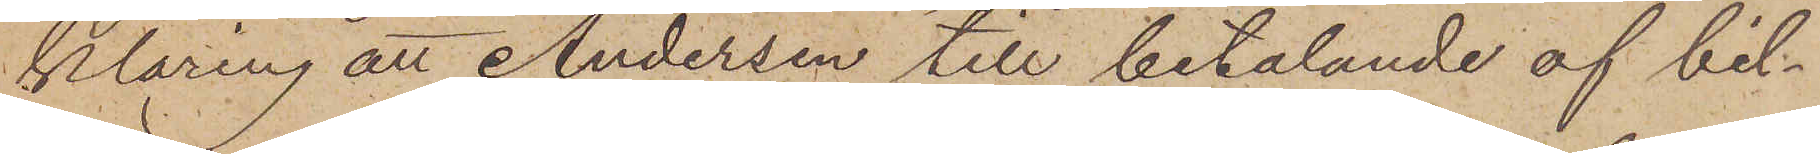klaring att Andersen till betalande af bil¬
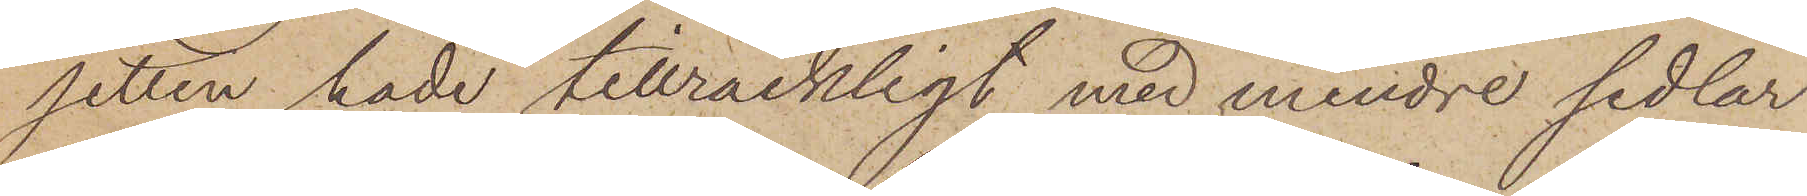setten hade tillräckligt med mindre sedlar
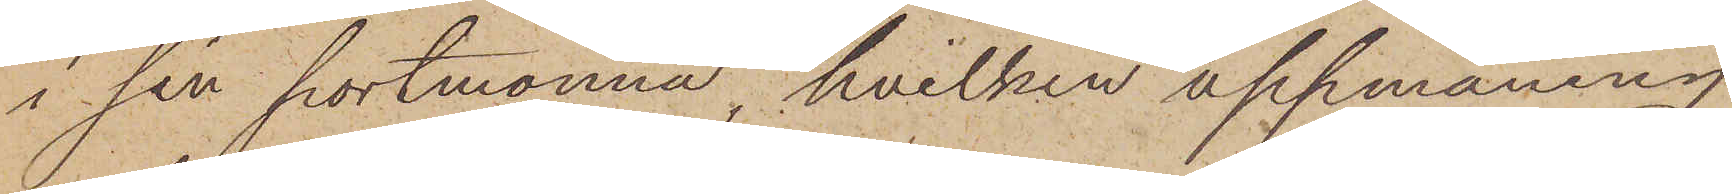i sin portmonnä, hvilken uppmaning
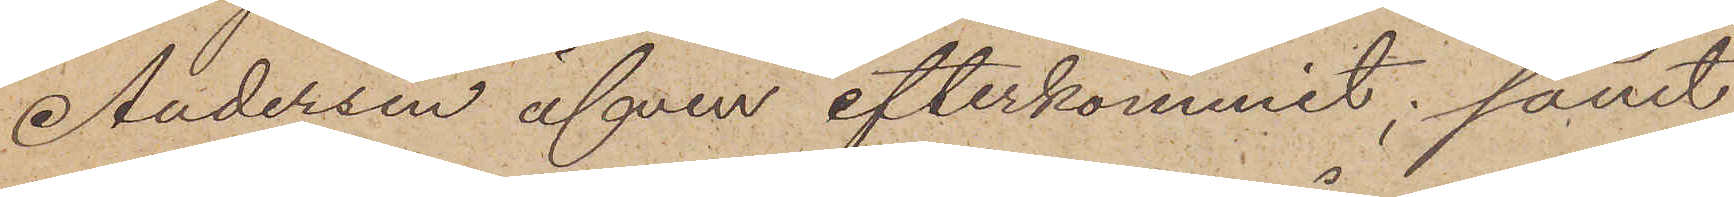Andersen äfven efterkommit; samt
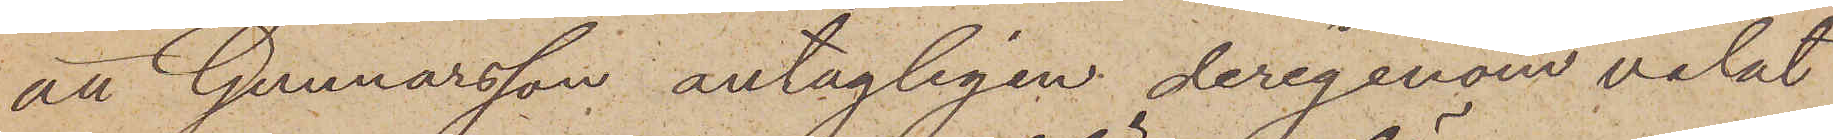att Gunnarsson antagligen derigenom velat
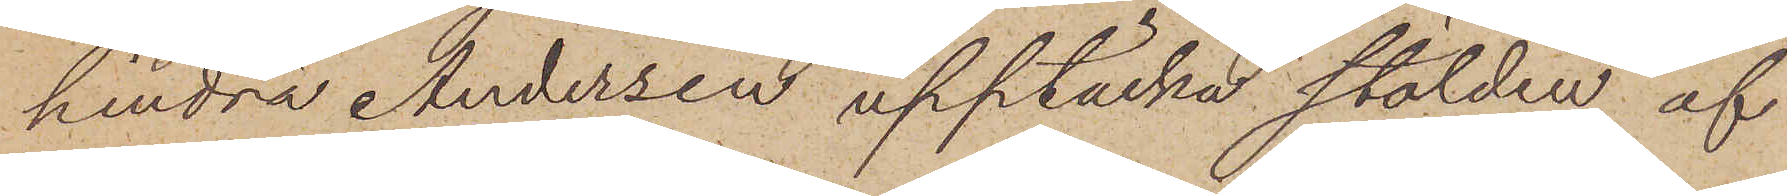hindra Andersen upptäcka stölden af
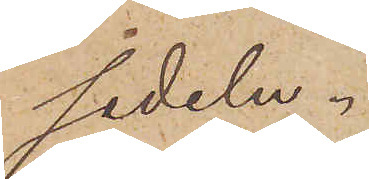sedeln.
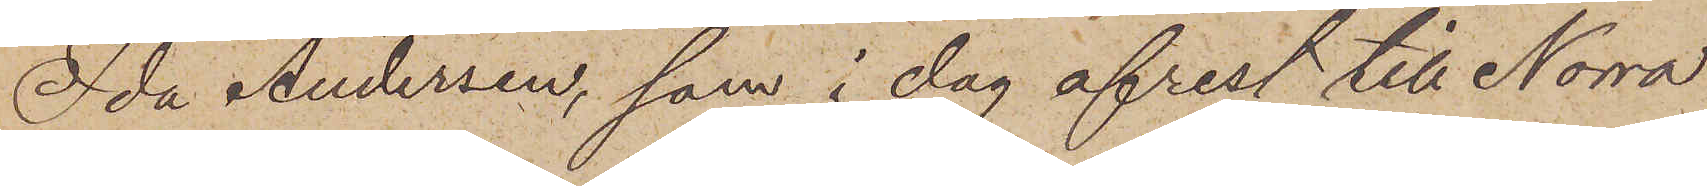Ida Andersen, som i dag afrest till Norra
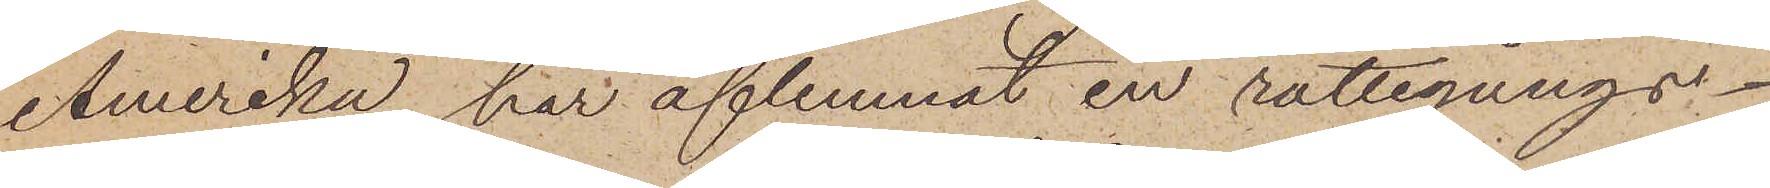Amerika, har aflemnat en rättegångs¬
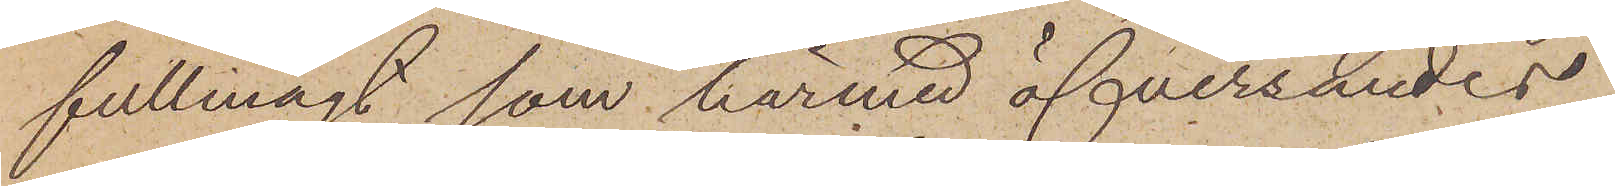fullmagt, som härmed öfversändes.
